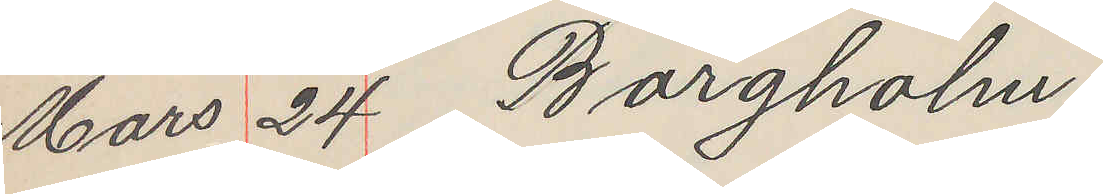Mars 24 Borgholm
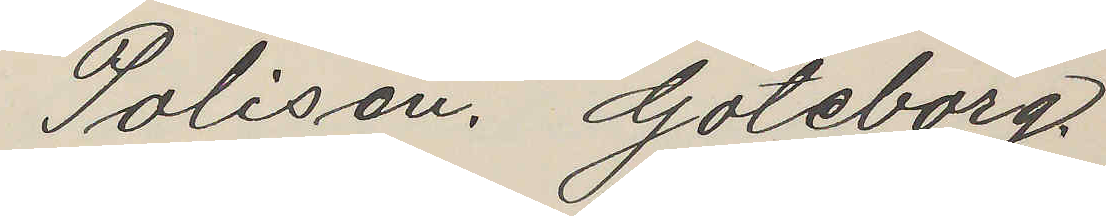Polisen, Göteborg.
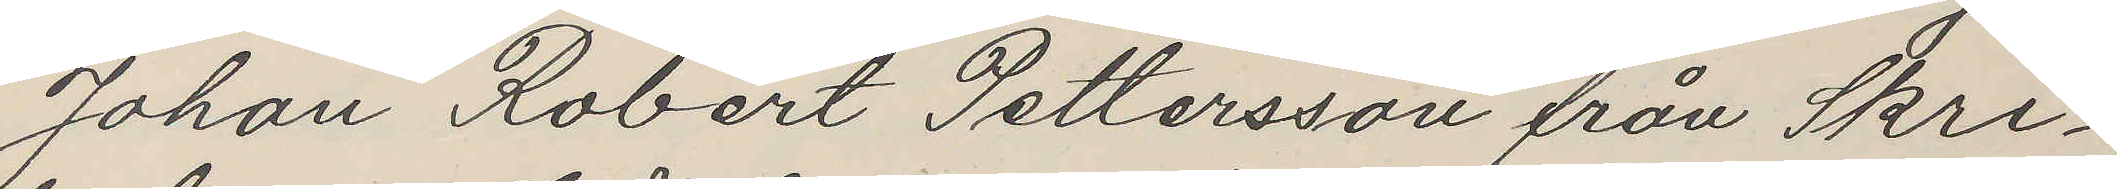Johan Robert Pettersson från Skri¬
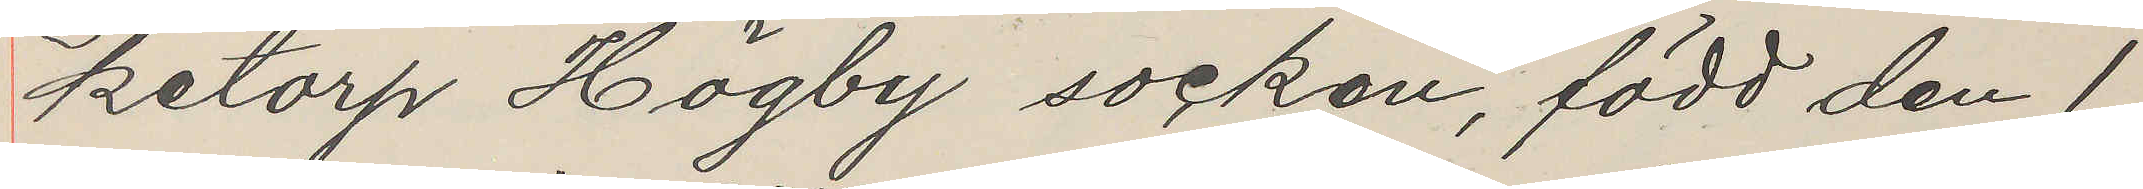ketorp Högby socken, född den 1
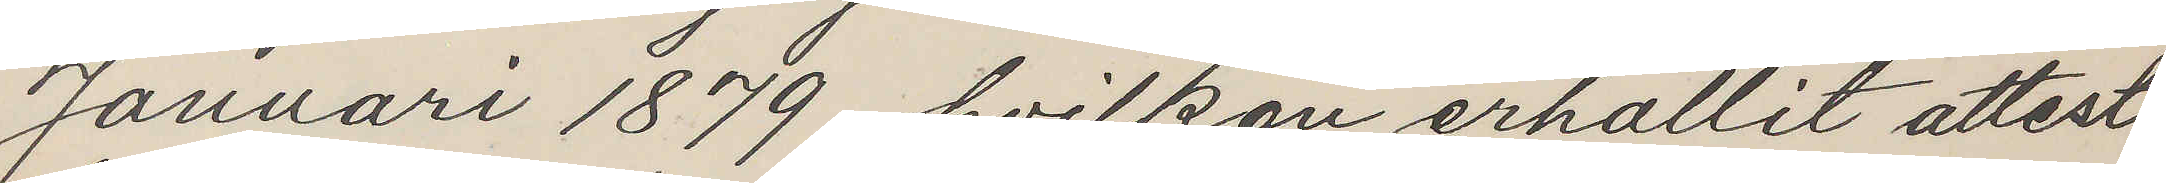Januari 1879, hvilken erhållit attest
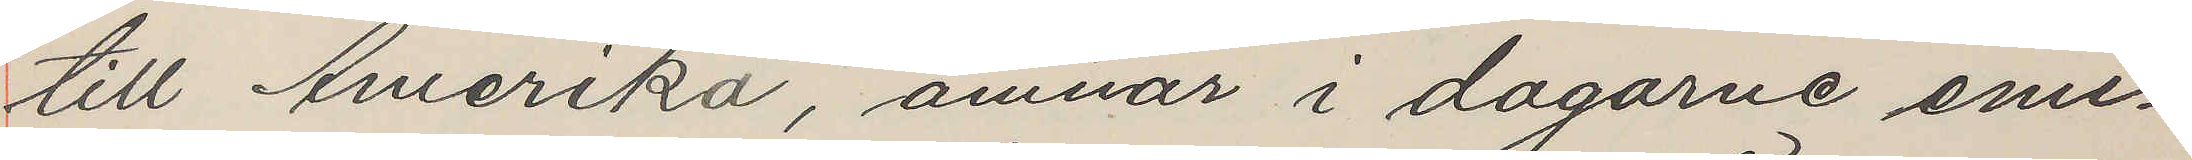till Amerika, ämnar i dagarne emi¬
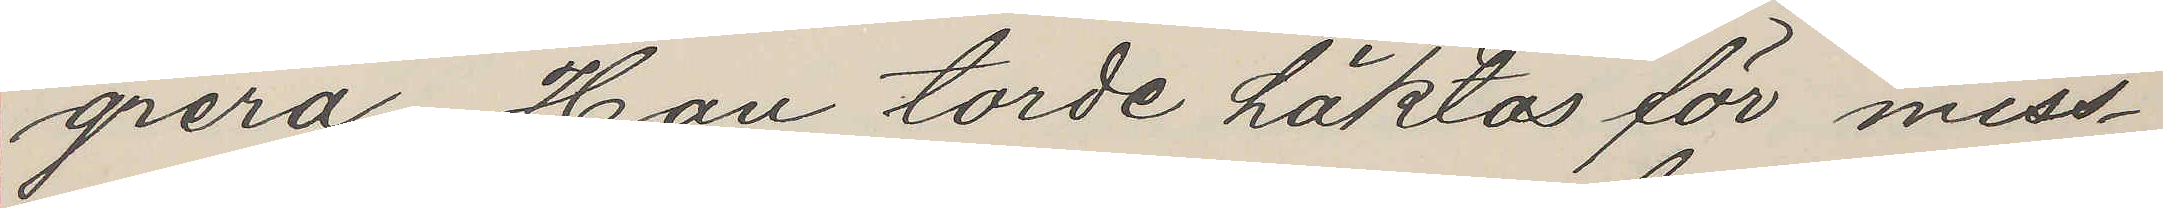grera. Han torde häktas för miss¬
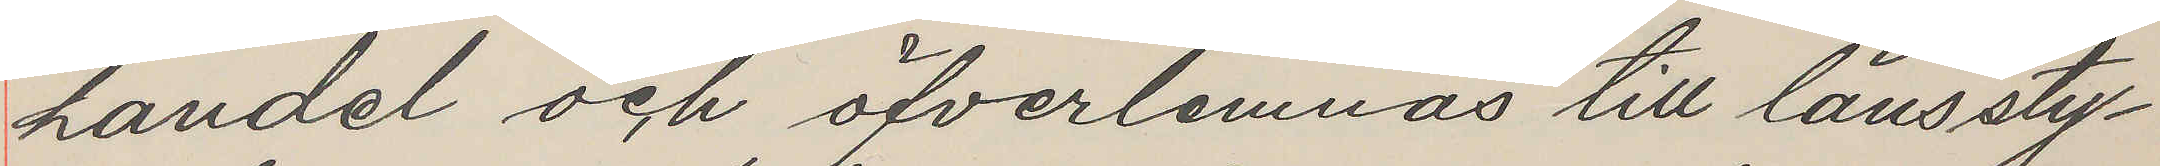handel och öfverlemnas till länssty¬
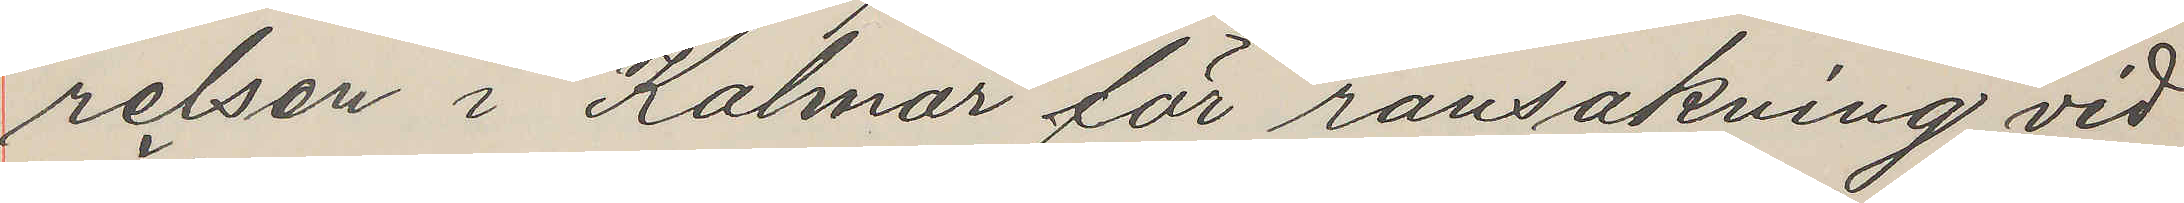relsen i Kalmar för ransakning vid
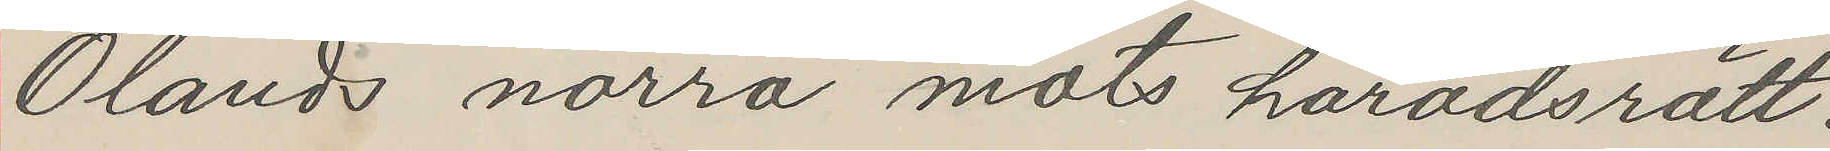Ölands norra mots häradsrätt.
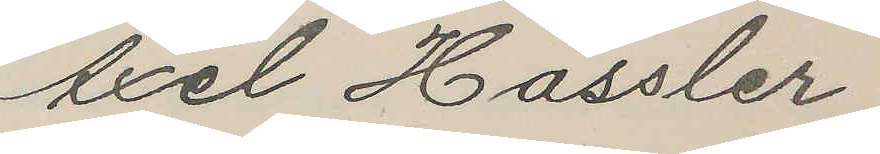Axel Hässler
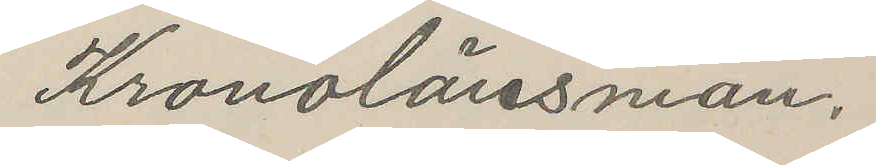Kronolänsman.
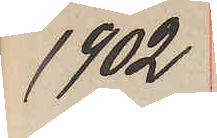1902
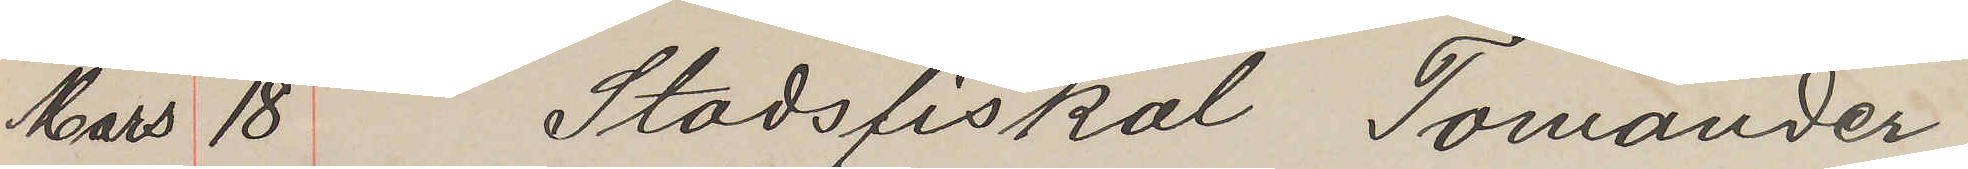Mars 18 Stadsfiskal Tomander
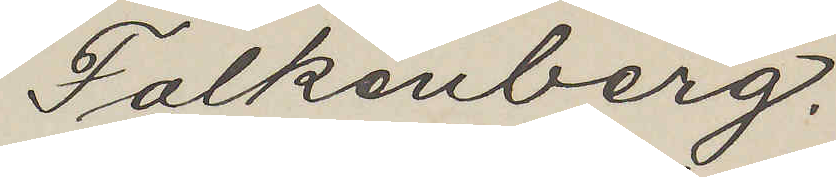Falkenberg.
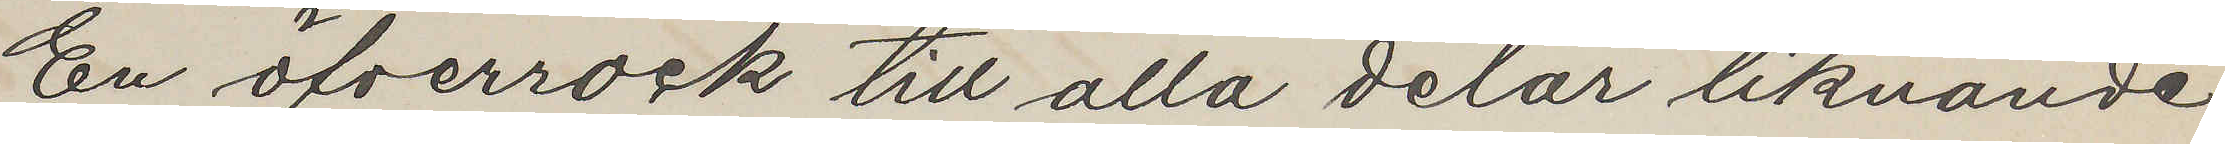En öfverrock till alla delar liknande
